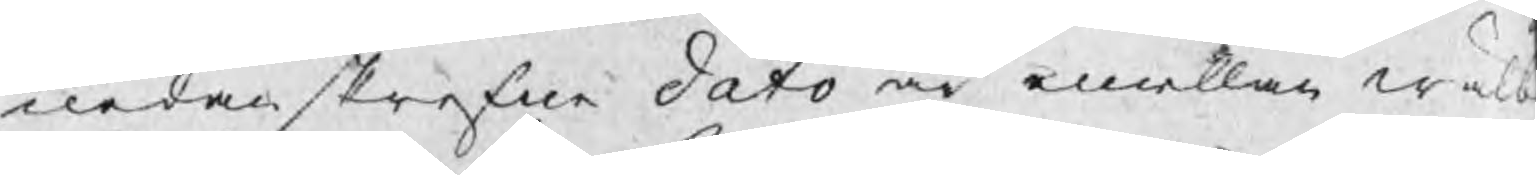nederskrefne dato är emellan wälb
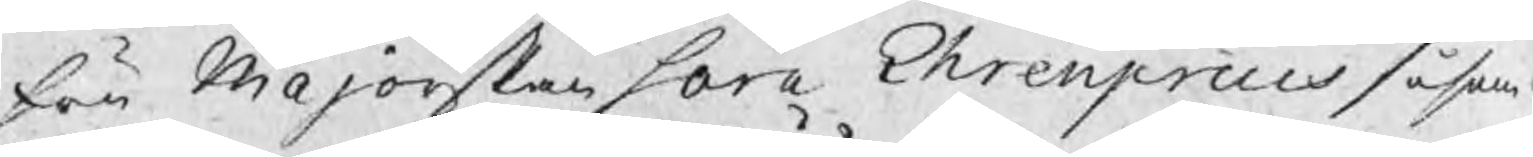fru Majorskan Sara Ehrenpreus såsom
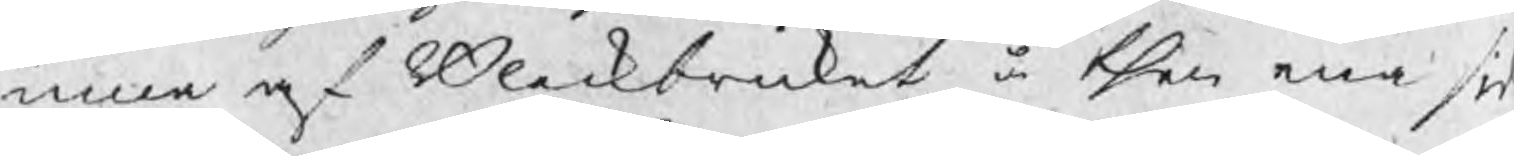inna af Bleckbruket å then ena sid
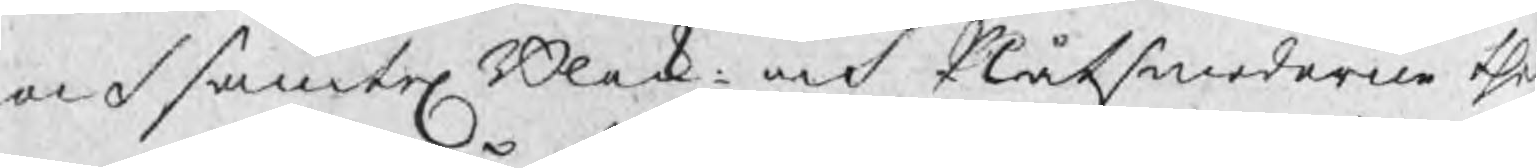och samtel Blek: och Plåtsmederne the
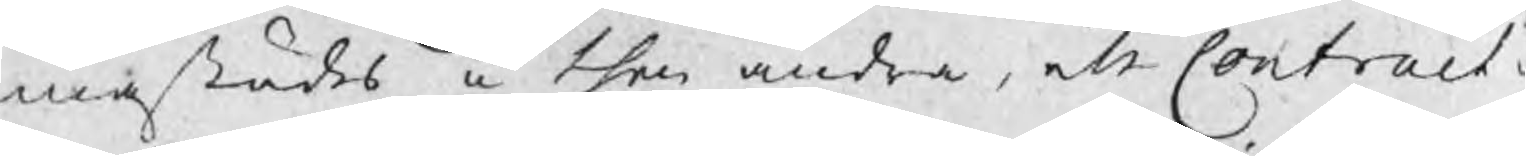mastädes å then andra, ett Contract u
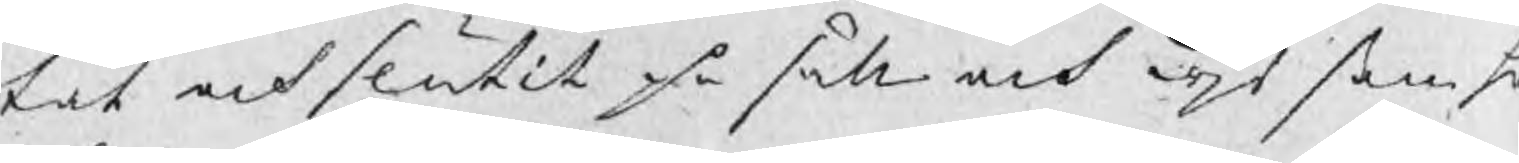tat och slutit på sätt och wjs som h
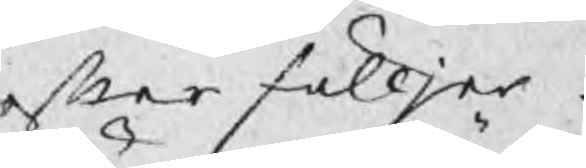efter fölljer
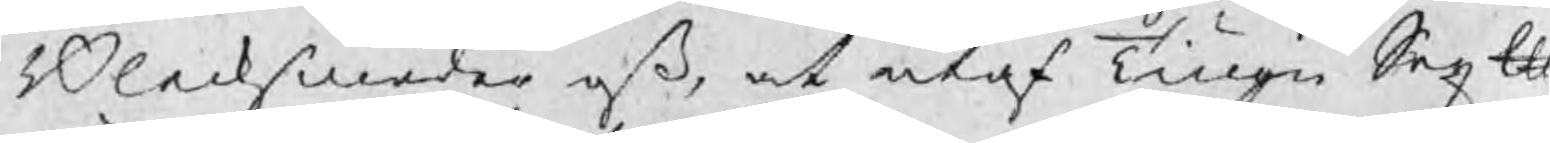Blecksmeder oß, at utaf Tiugu Sex ℔
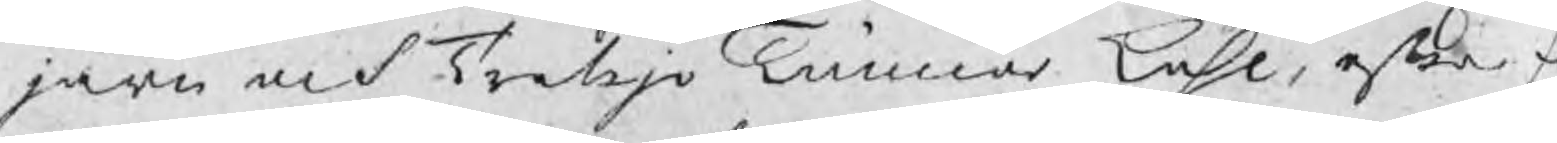järn och Tretijo Tunnor kohl, efter f
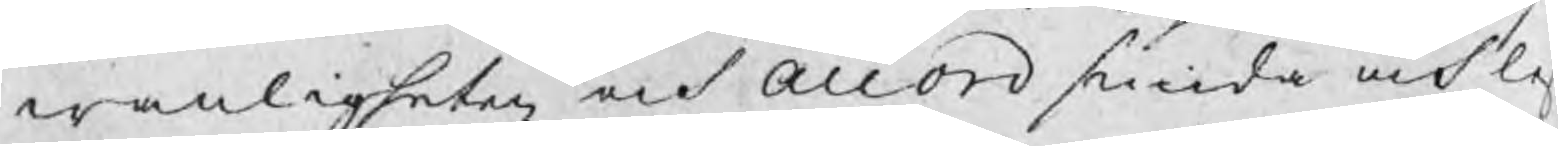wanligheten och accord smida och lef
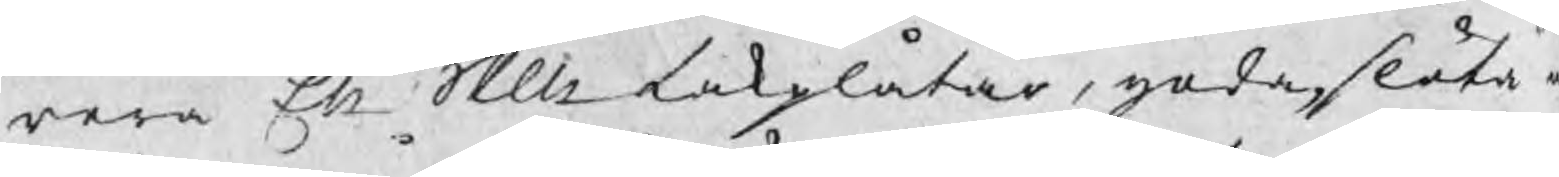rera Ett Skp takplåtar, goda, släta o
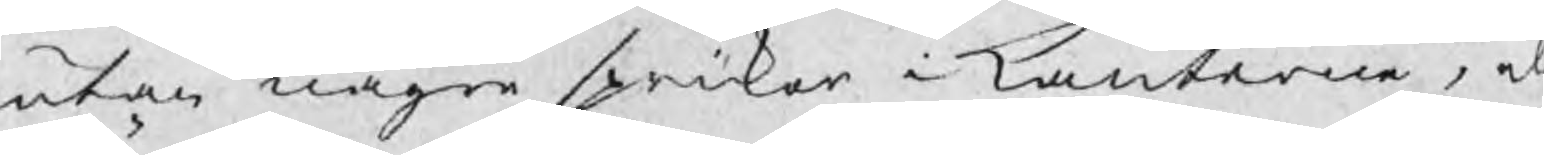utan någre sprikor i kanterna, el
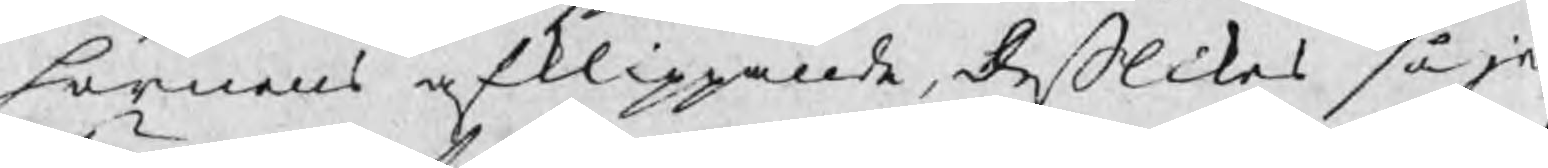hörnens afklippande, deßlikes så je
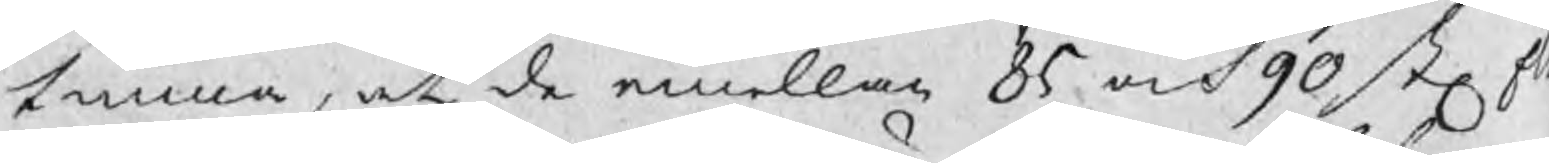tunna, at de emellan 85 och 90 st sk
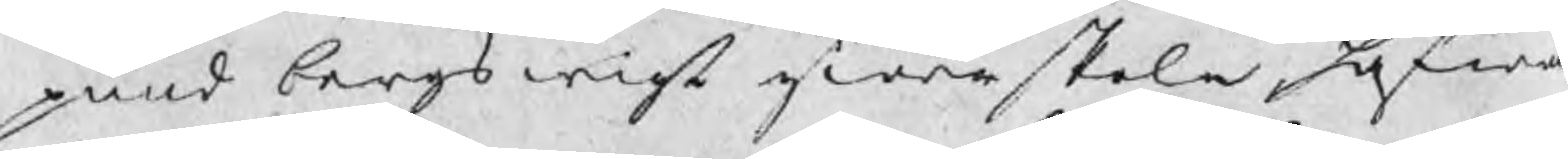pund bergswigt giöra skola hafwan
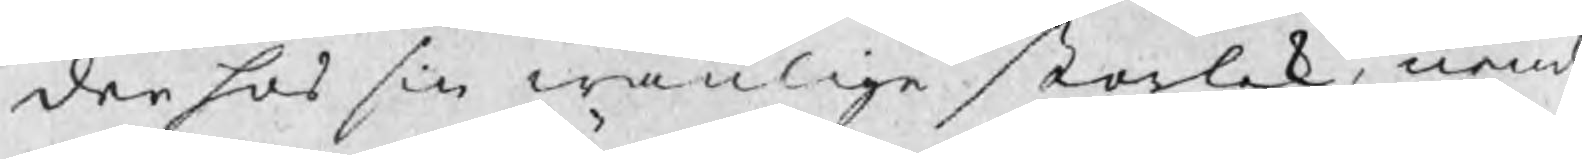der hos sin wanlige storlek, neml
